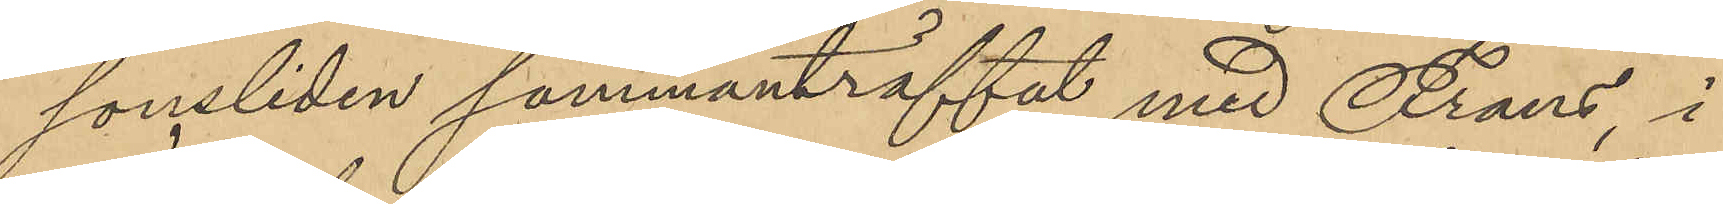sonsliden sammanträffat med Frans, i
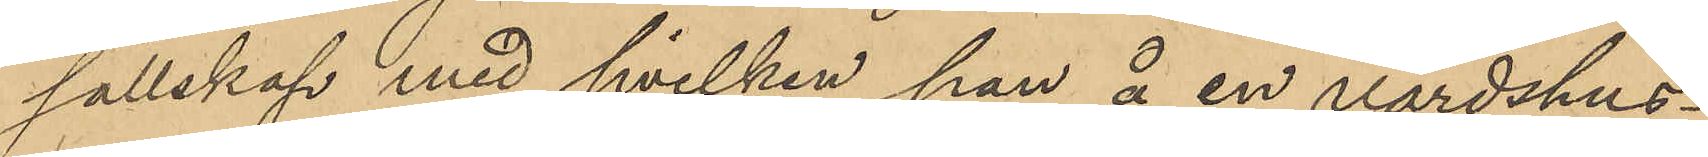sällskap med hvilken han å en värdshus¬
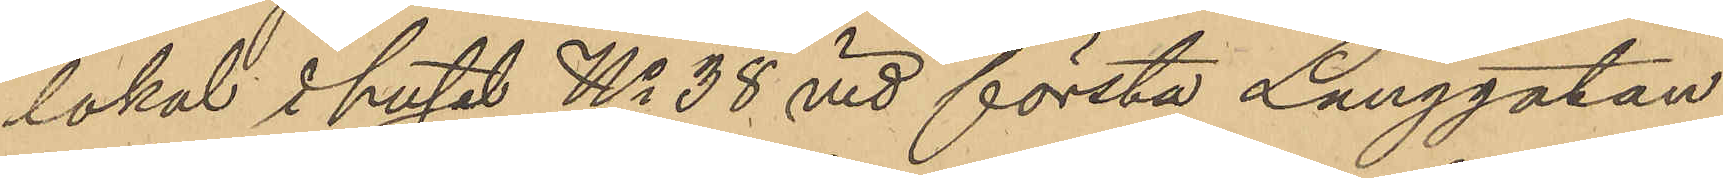lokal i huset No 38 vid första Långgatan
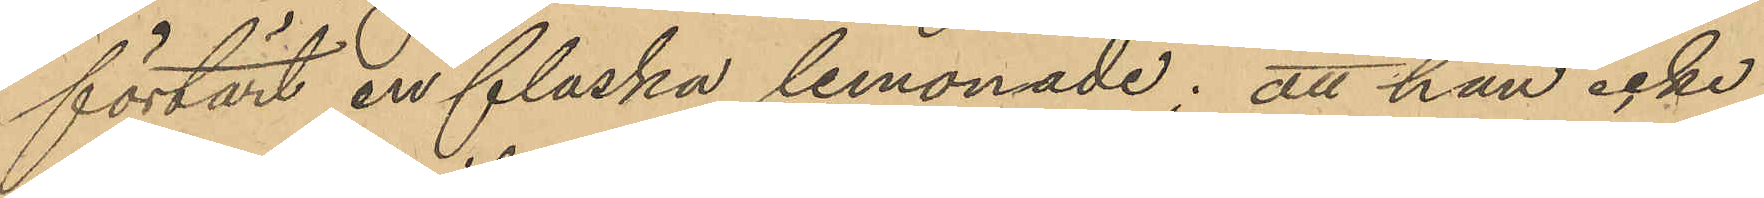förtärt en flaska lemonade; att han icke
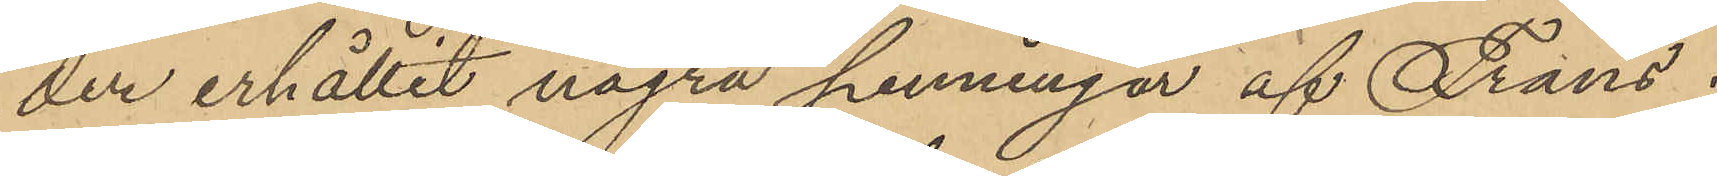der erhållit några penningar af Frans
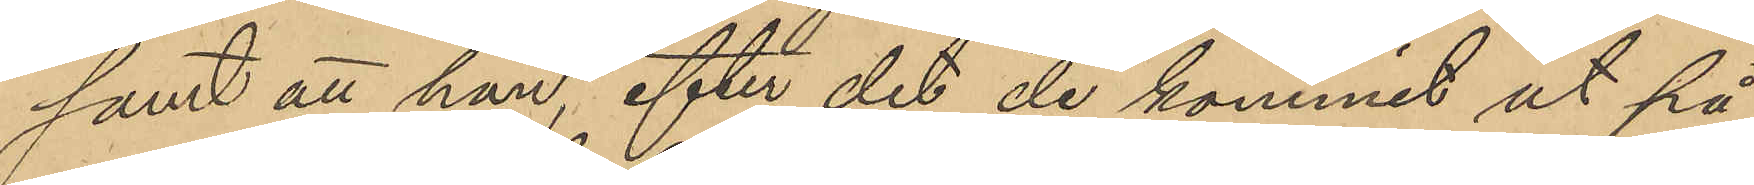samt att han, efter det de kommit ut på
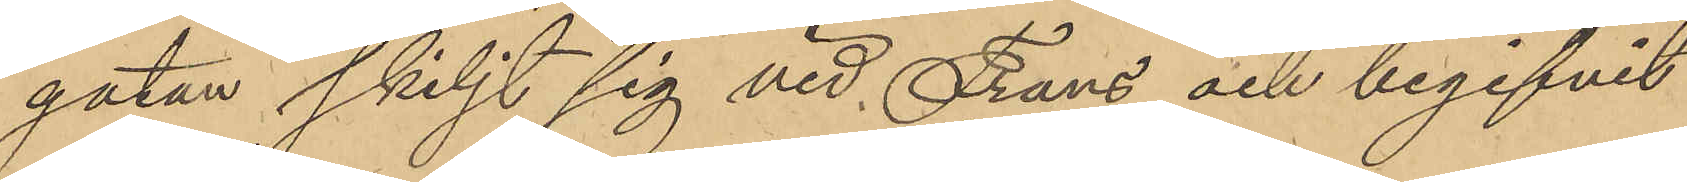gatan skiljt sig vid Frans och begifvit
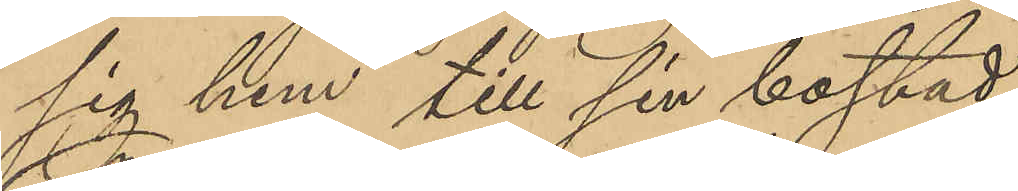sig hem till sin bostad.
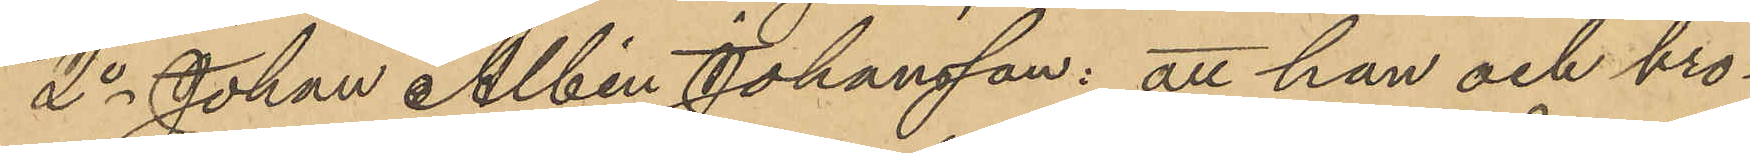2o Johan Albin Johansson: att han och bro¬
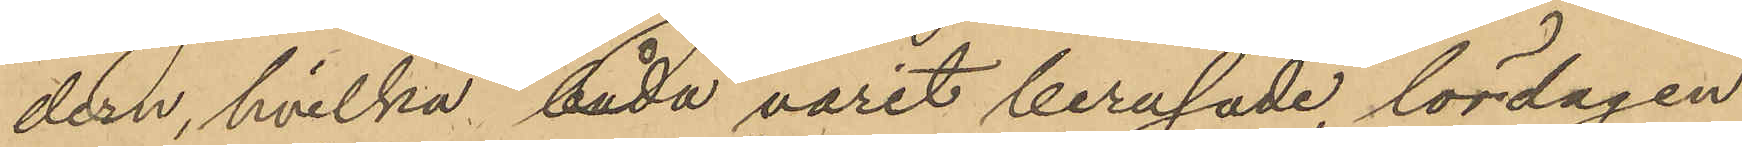dern, hvilka båda varit berusade lördagen
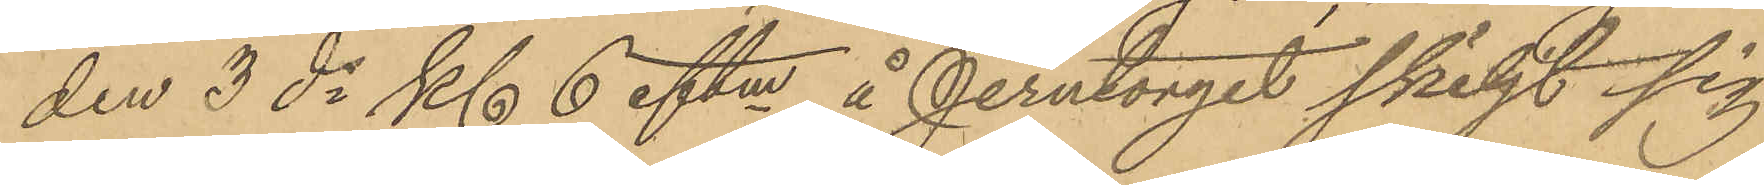den 3 ds Kl 6 eftm å Jerntorget skiljt sig
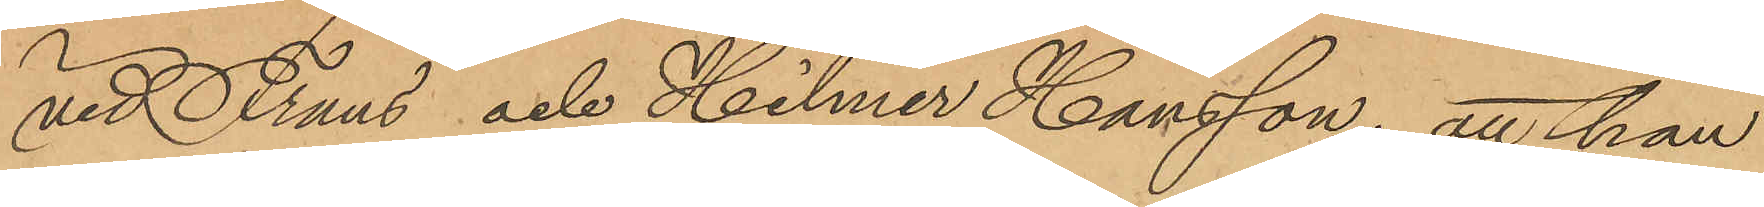vid Frans och Hilmer Hansson; att han
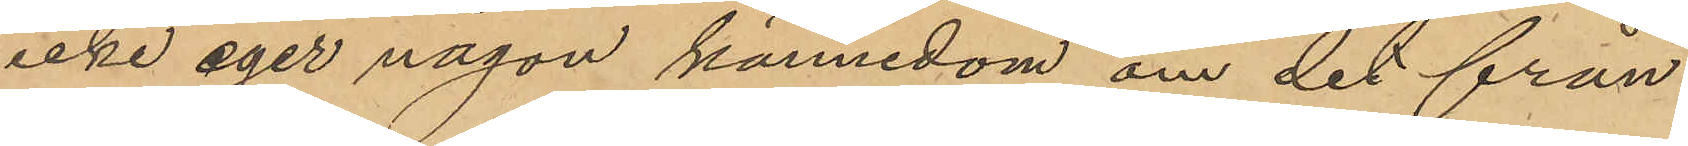icke eger någon kännedom om det från
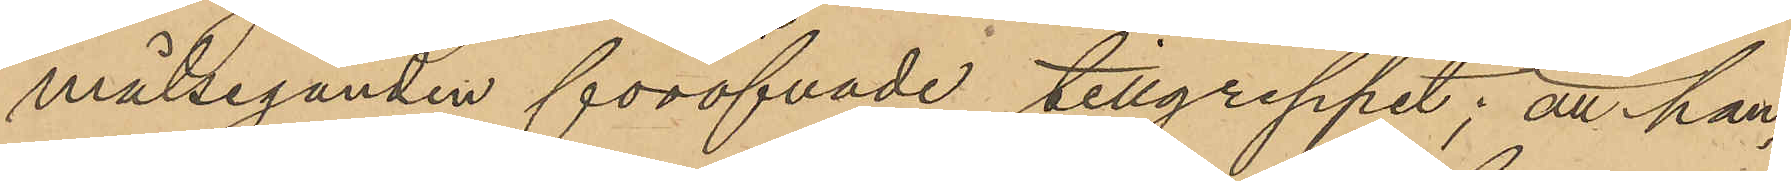målseganden föröfvade tillgreppet; att han,
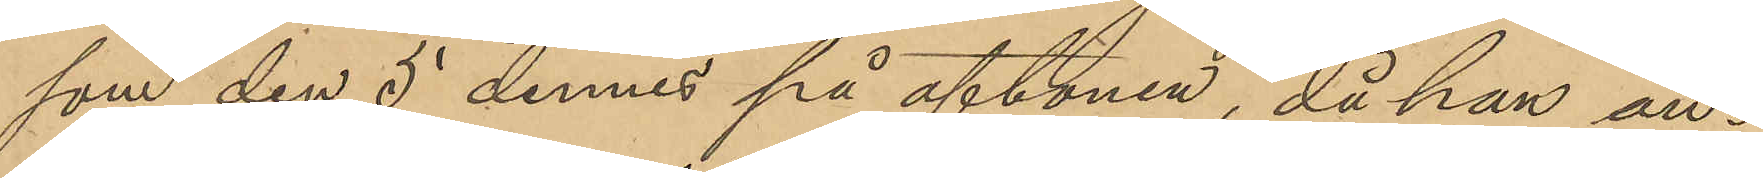som den 5 dennes på aftonen, då han an¬
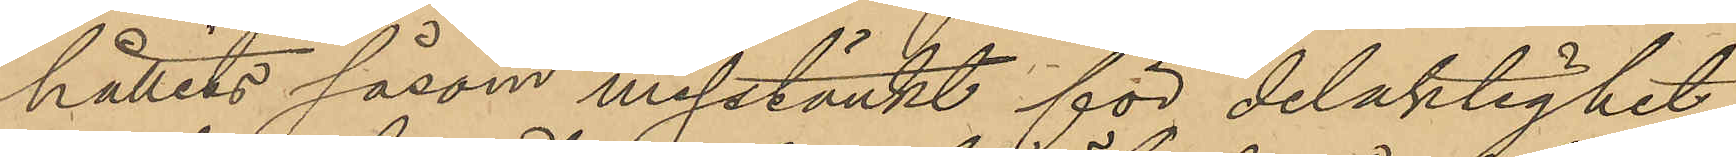hållits såsom misstänkt för delaktighet
